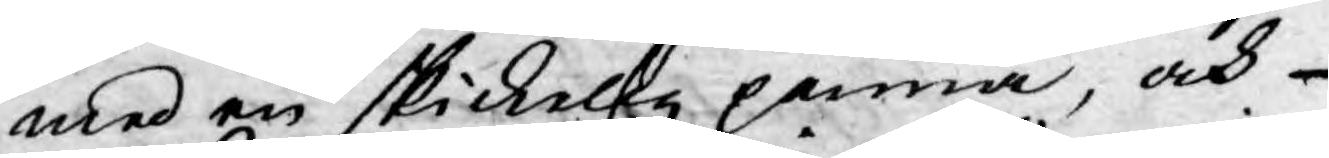med en skickelig penna, och
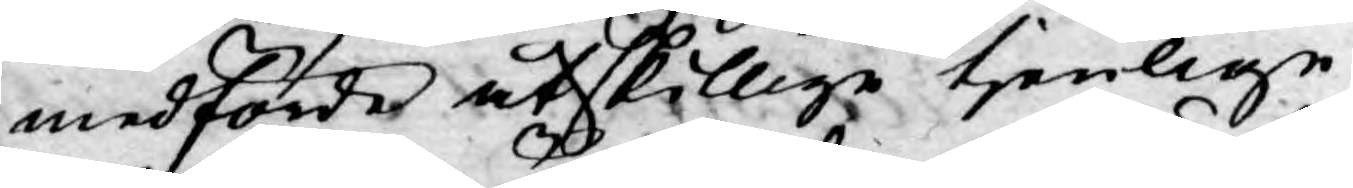medförde åtskillige tjenlige
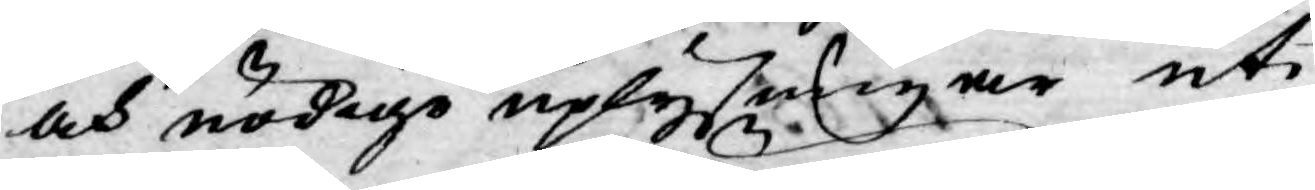och nödige uplysingar uti
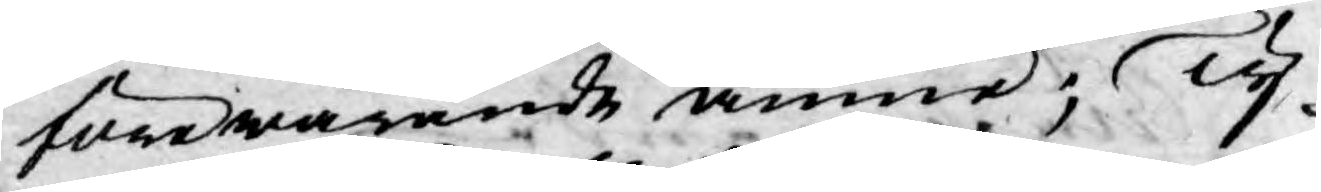förewarande ämne; Ty
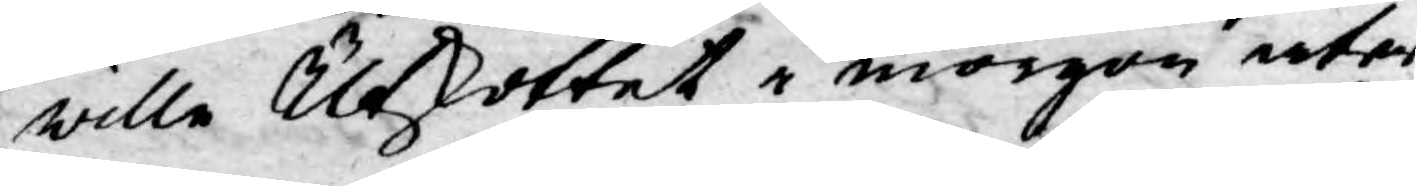wille Utskottet i morgon åter
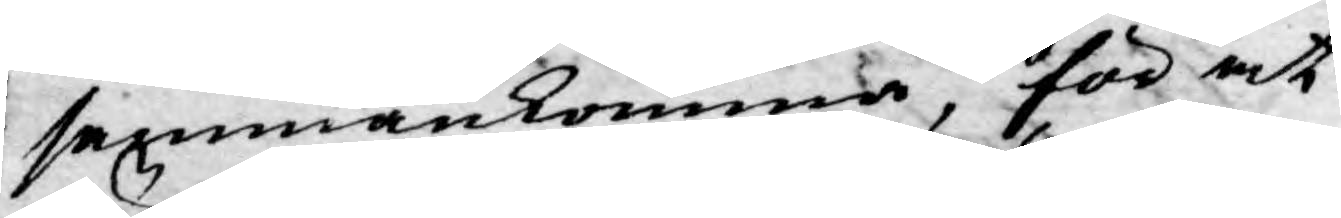sammankomma, för at
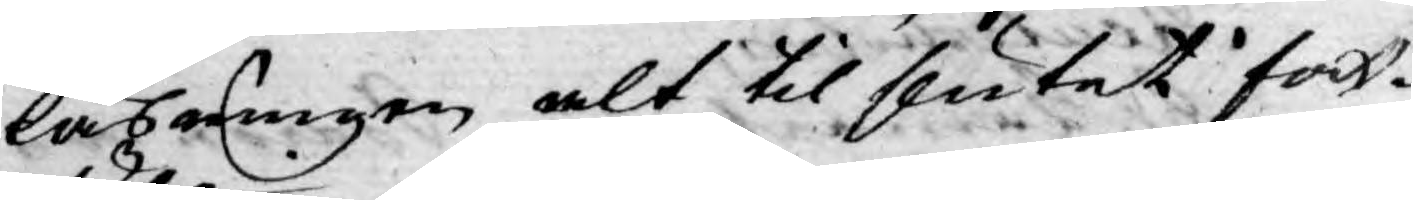läsningen alt til slutet fort¬
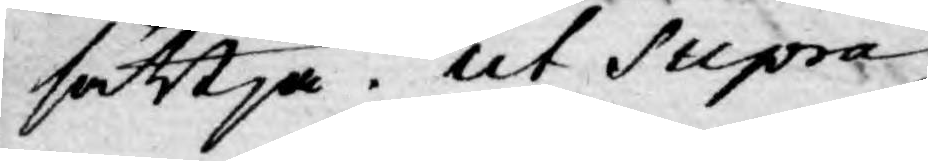sättja. ut Supra
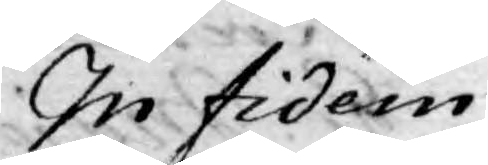In fidem
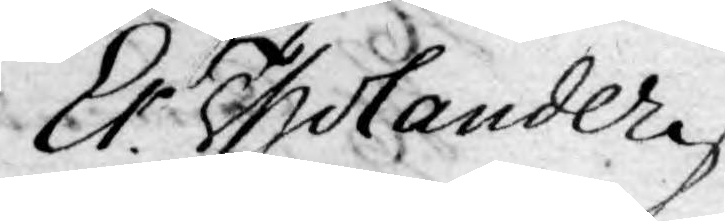Er. Tholander
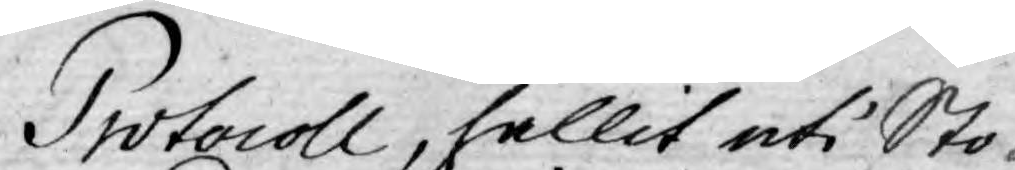Protocoll, hållit uti Sto¬
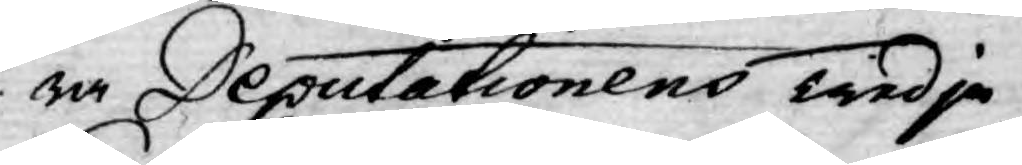ra Deputationens Tredje
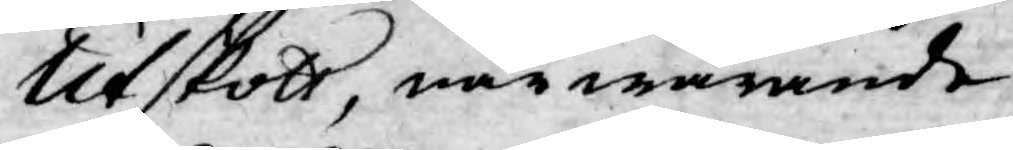Utskott, närwarande
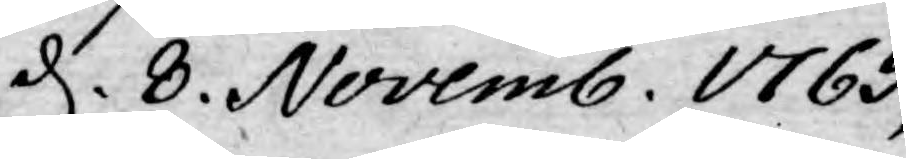d. 8. Novemb. 1765,
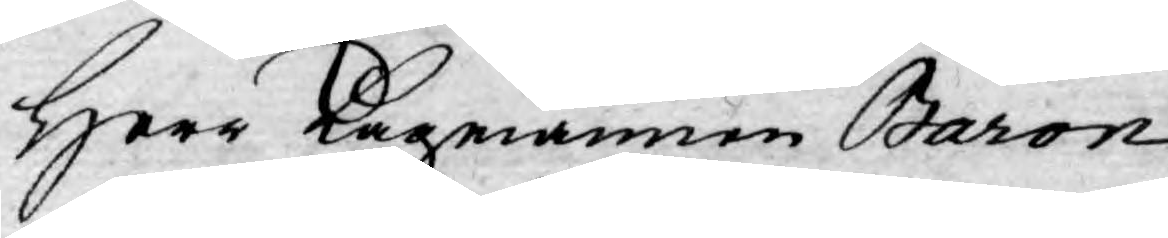Herr Lagmannen Baron
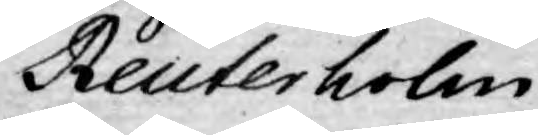Reuterholm
